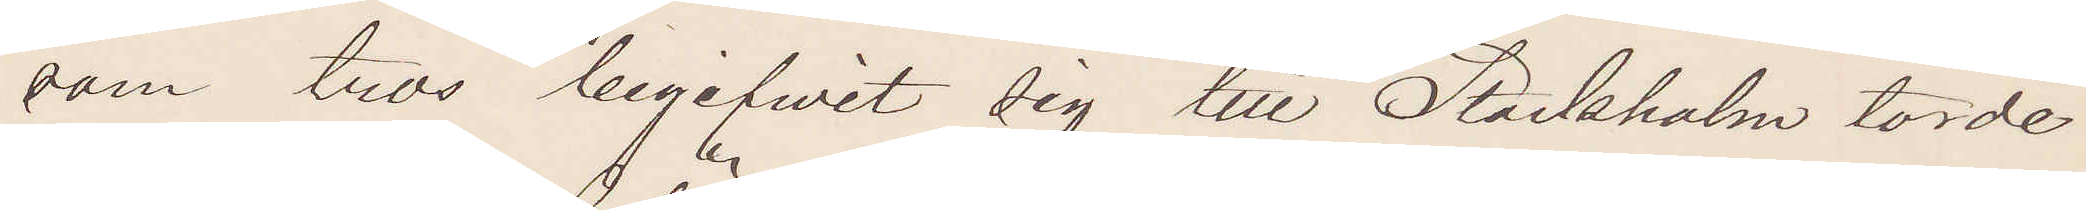som tros begifvit sig till Stockholm torde
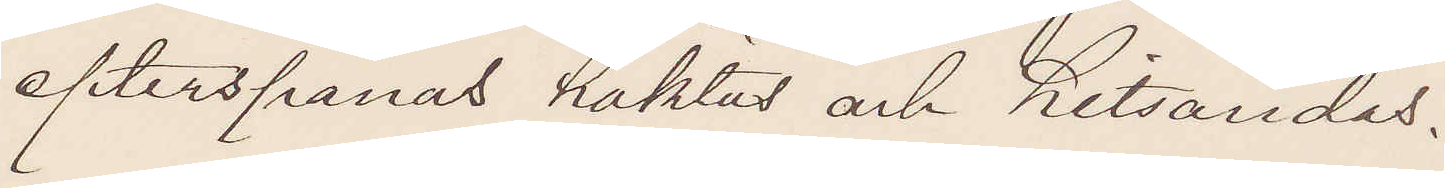efterspanas häktas och hitsändas.
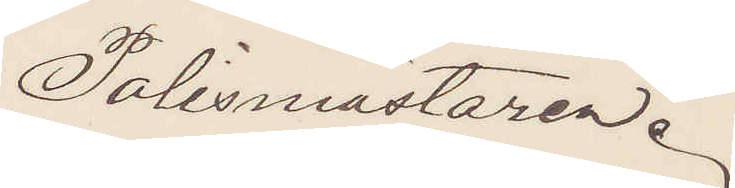Polismästaren.
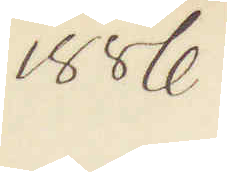1886
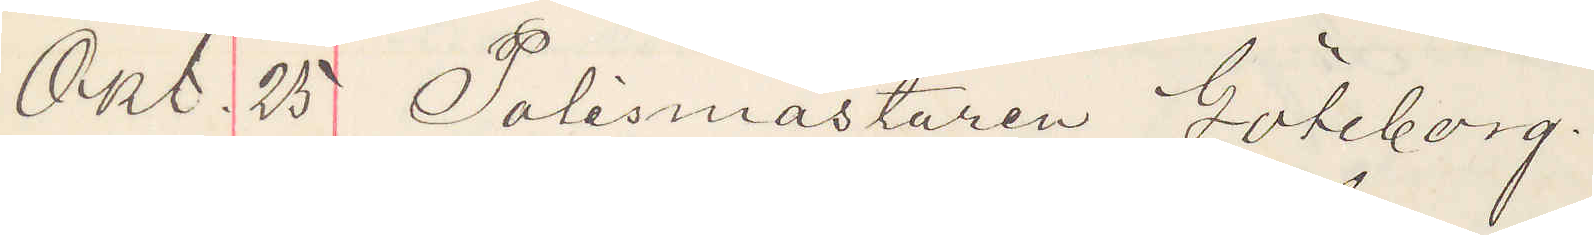Okt. 25 Polismästaren Göteborg.
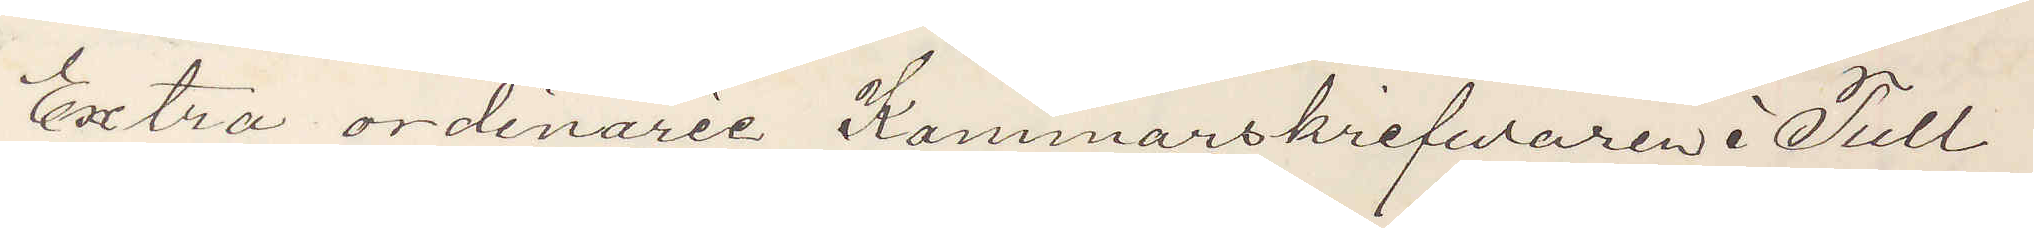Extra ordinarie Kammarskrifwaren i Tull¬
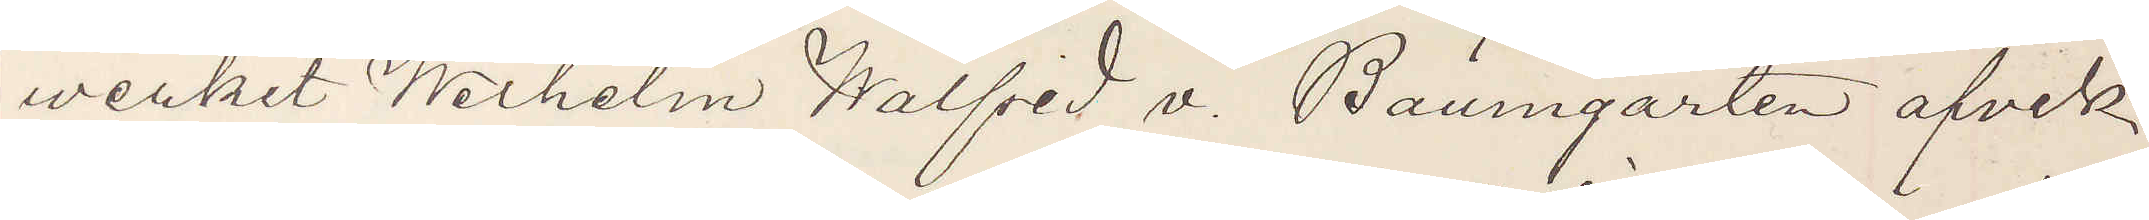werket Wilhelm Walfrid v. Baumgarten afvek
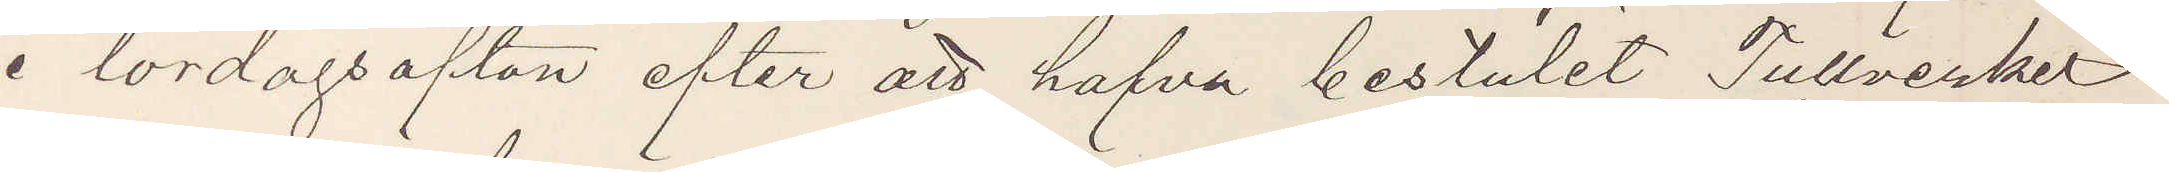i lördagsafton efter att hafva bestulit Tullverket
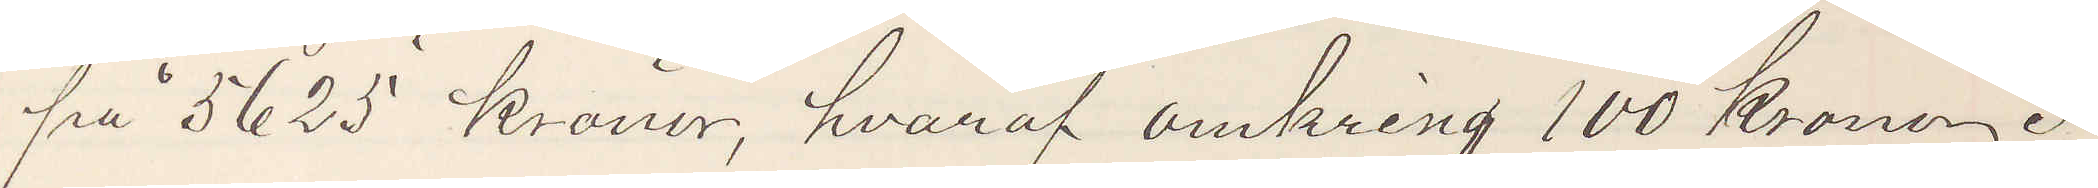på 5625 Kronor, hvaraf omkring 100 Kronor i
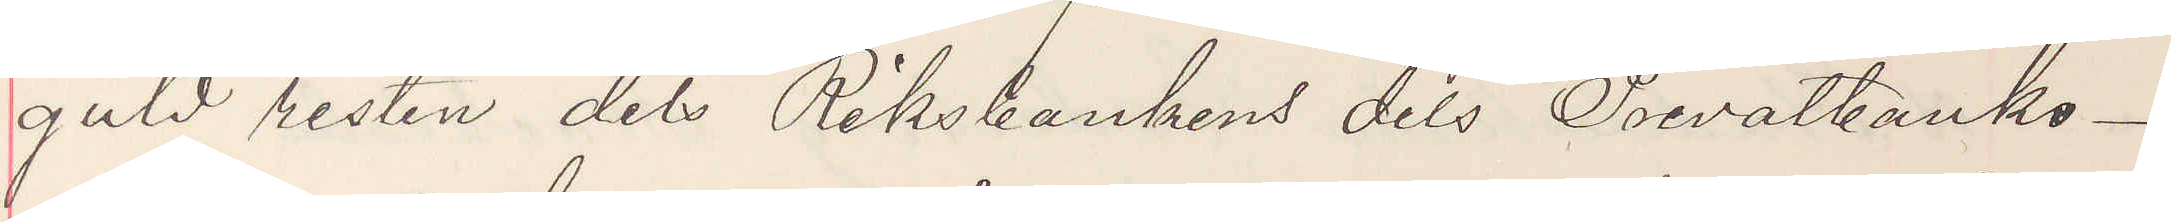guld resten dels Riksbankens dels Privatbanko¬
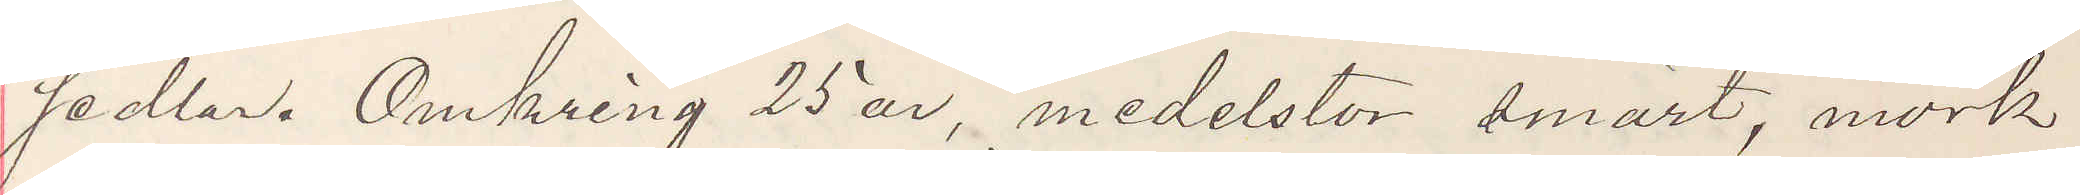sedlar. Omkring 25 år, medelstor smärt, mörk
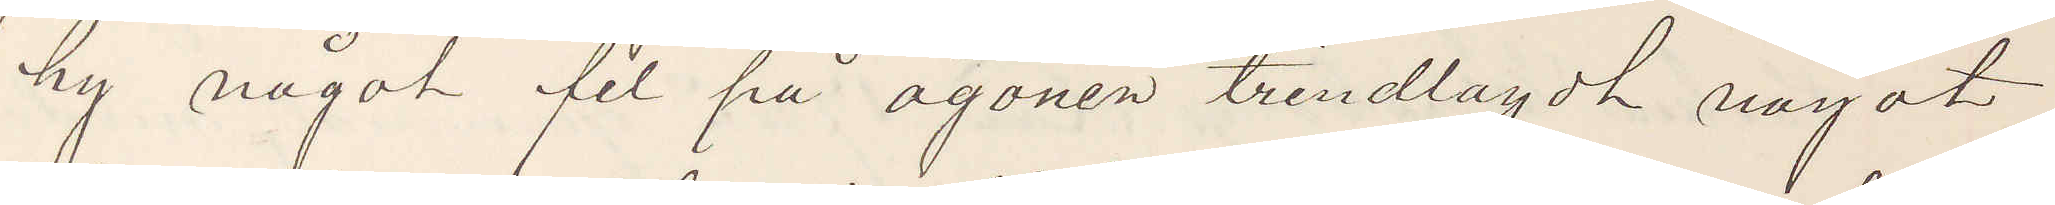hy något fel på ögonen trindlagdt något
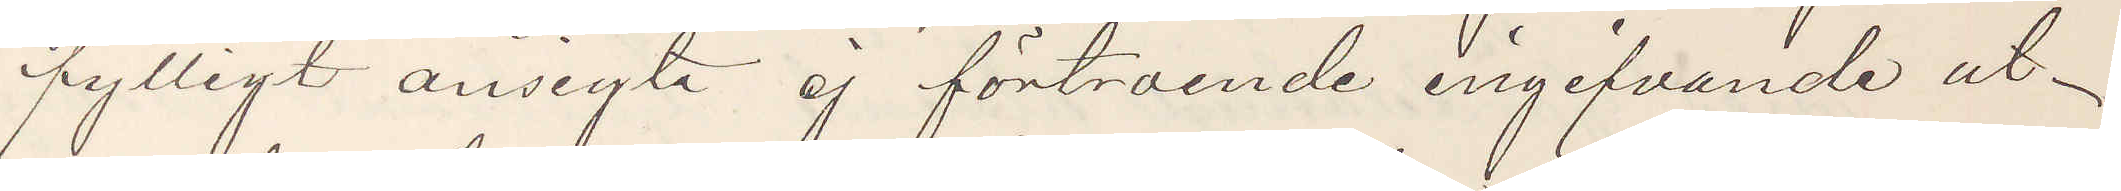fylligt ansikte ej förtroende ingifvande ut¬
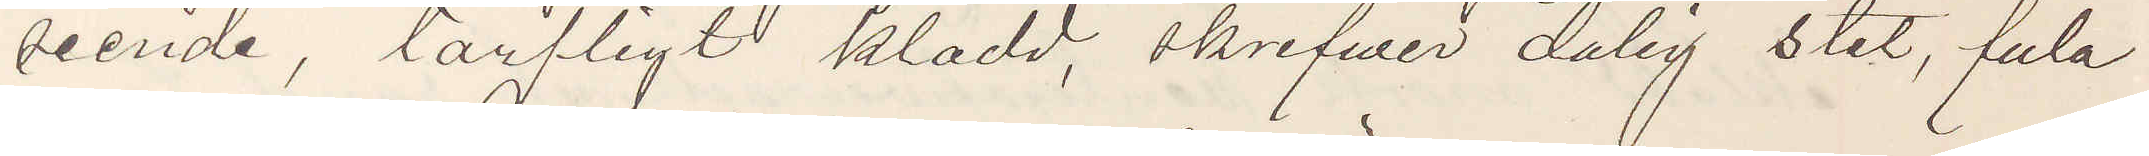seende, tarfligt klädd, skrifver dålig stil, fula
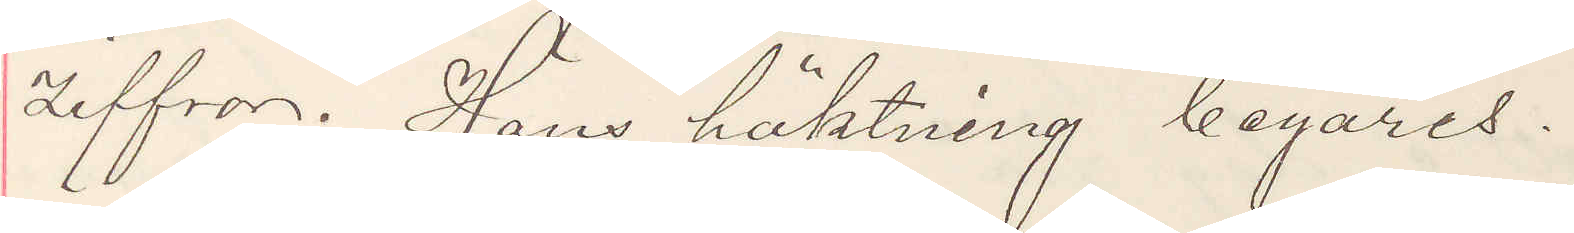ziffror. Hans häktning begäres.
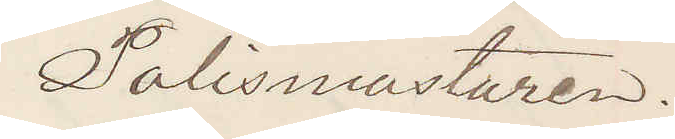Polismästaren.
